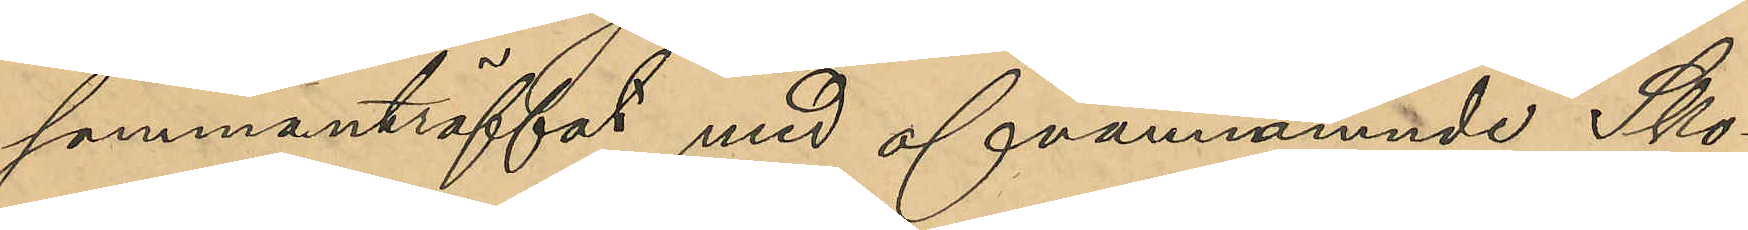sammanträffat med ofvannämnde Sko¬
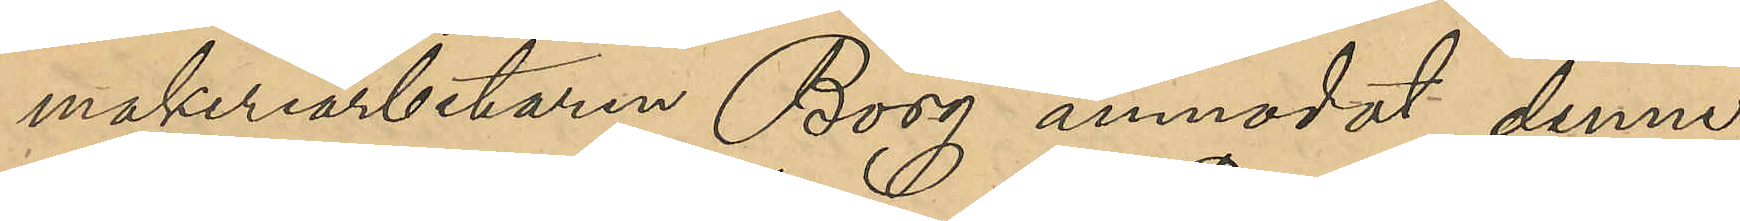makeriarbetaren Borg anmodat denne
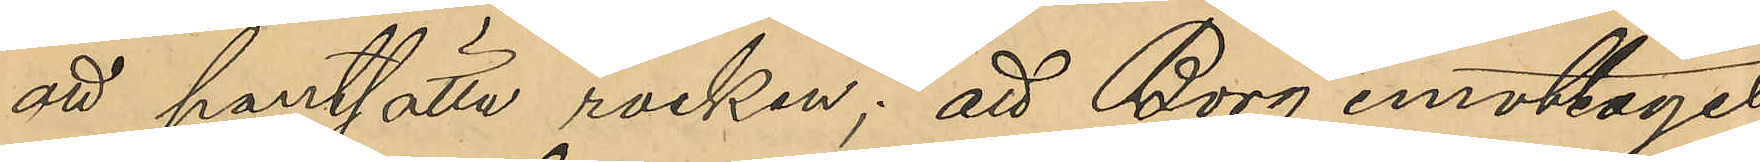att pantsätta rocken; att Borg emottagit
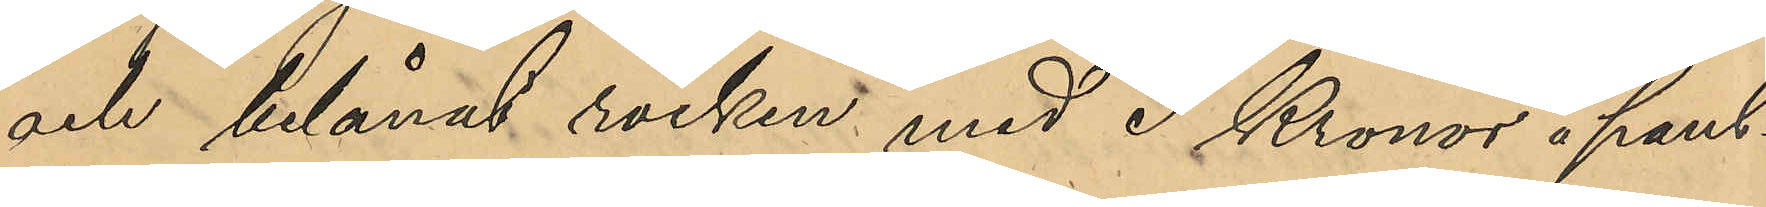och belånat rocken med 3 Kronor å Pant¬
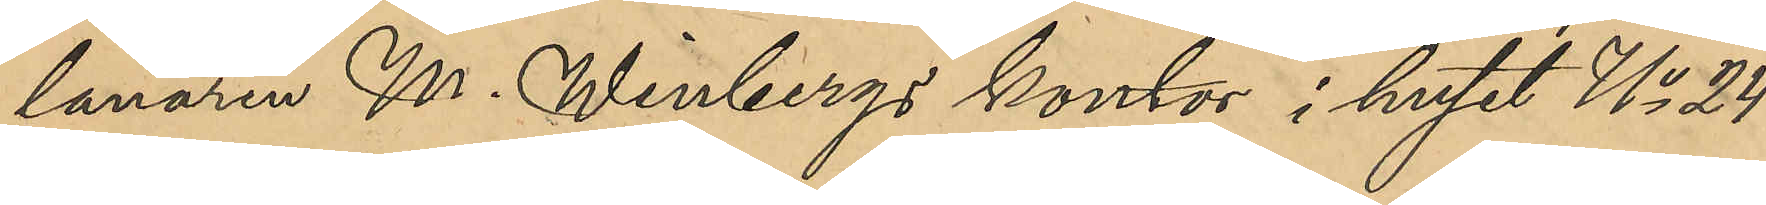lanaren M. Winbergs kontor i huset No 24
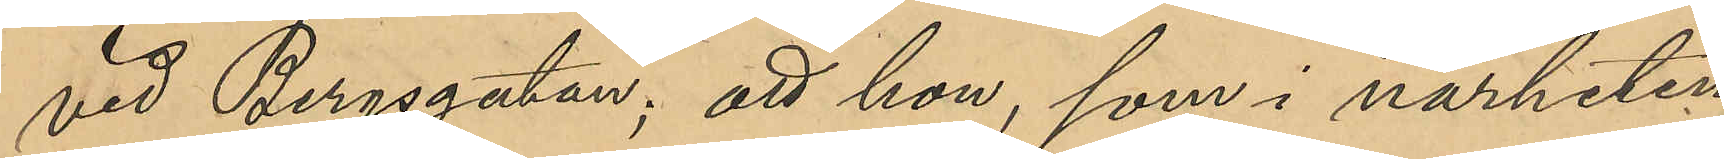vid Bergsgatan; att hon, som i närheten
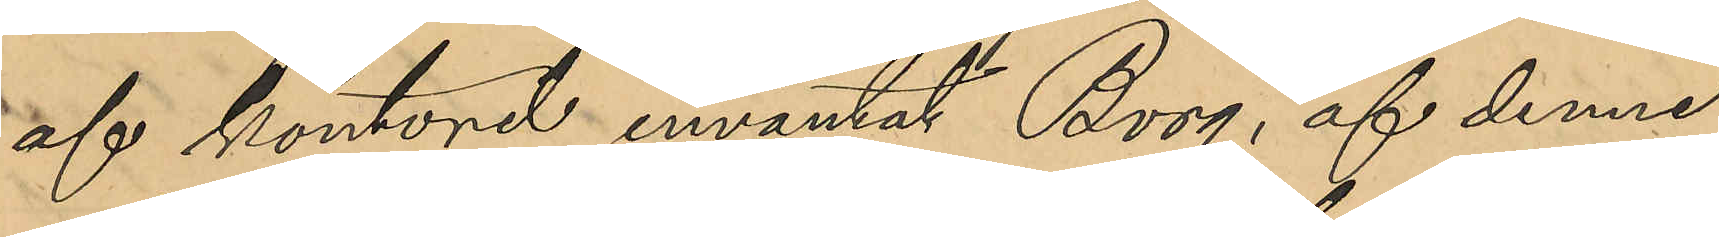af kontoret inväntat Borg, af denne
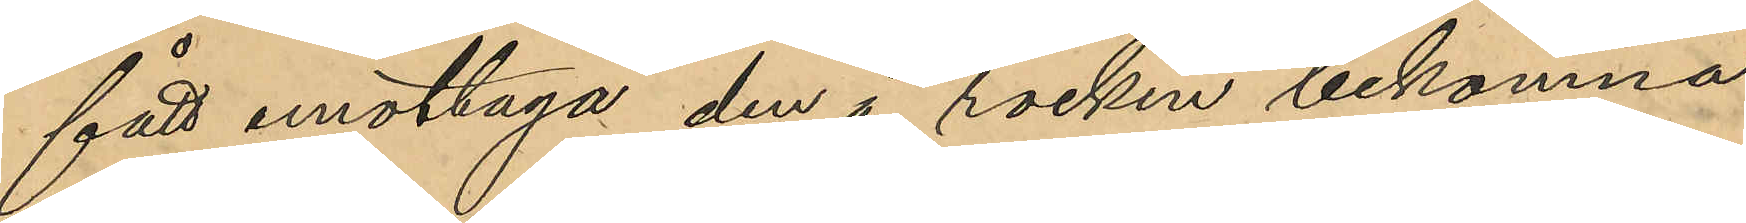fått emottaga den å rocken bekomna
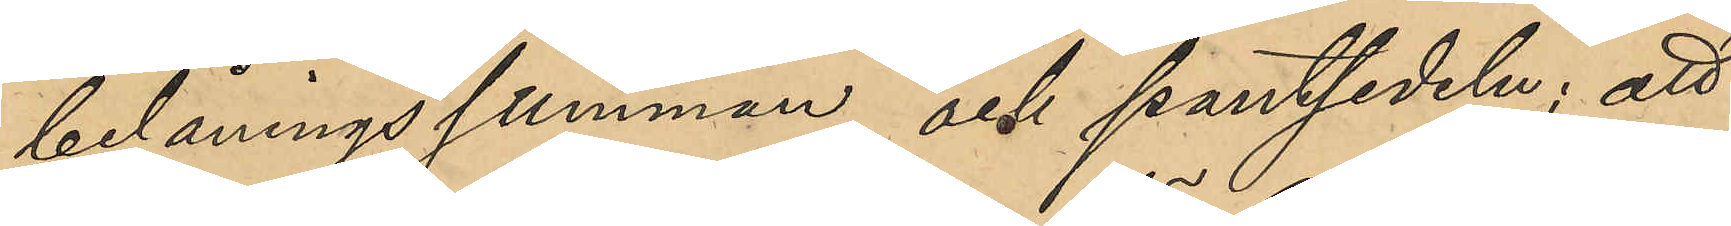belåningssumman och pantsedeln; att
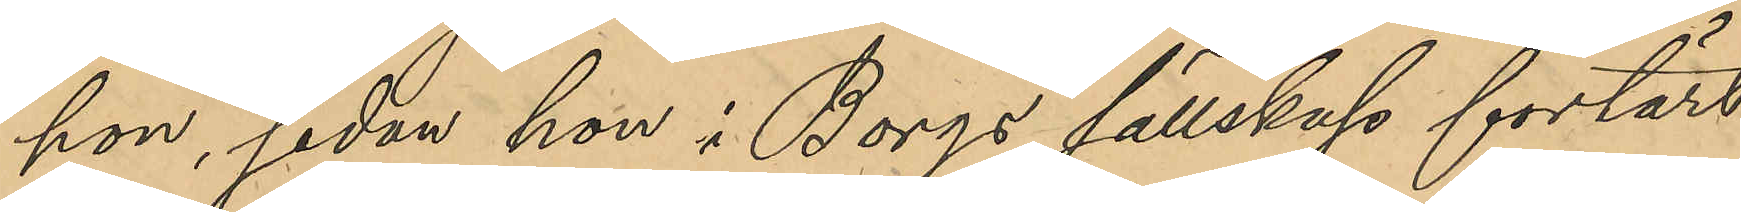hon, sedan hon i Borgs sällskap förtärt
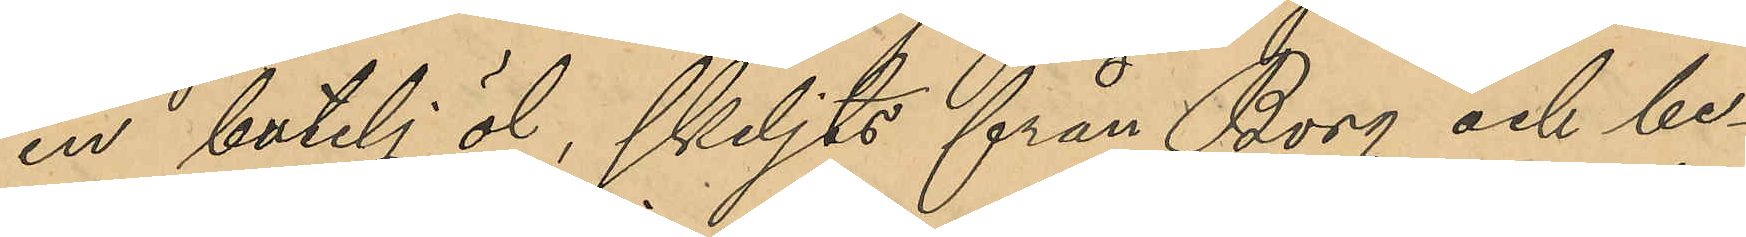en butelj öl, skiljts från Borg och be¬
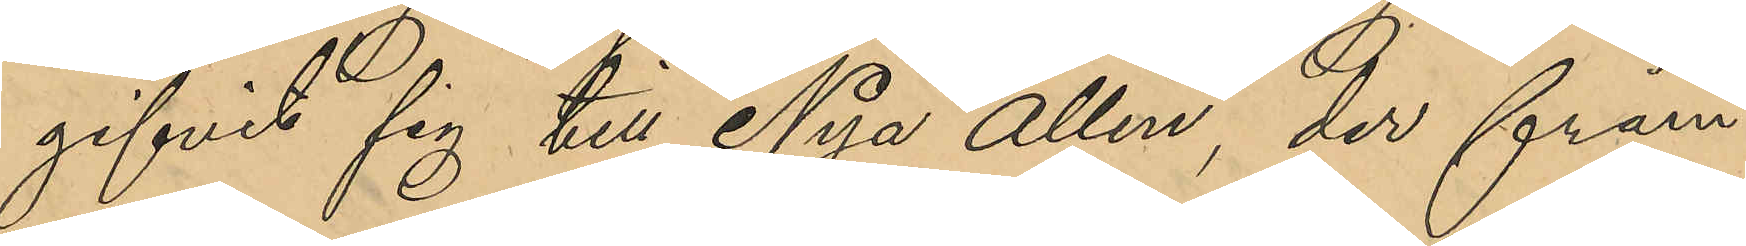gifvits sig till Nya Allén, der främ¬
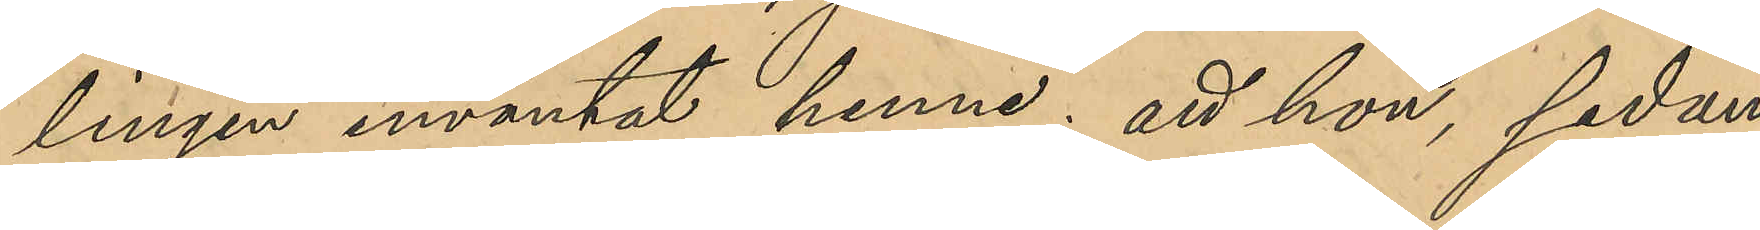lingen inväntat henne; att hon, sedan
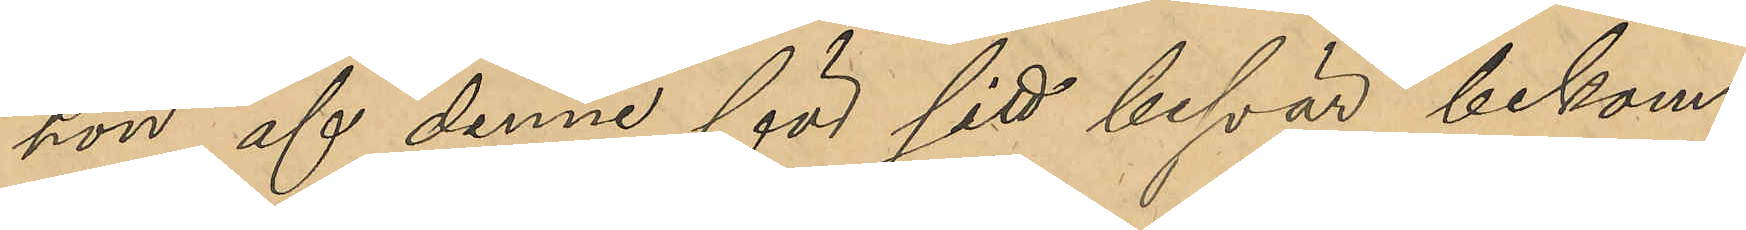hon af denne för sitt besvär bekom¬
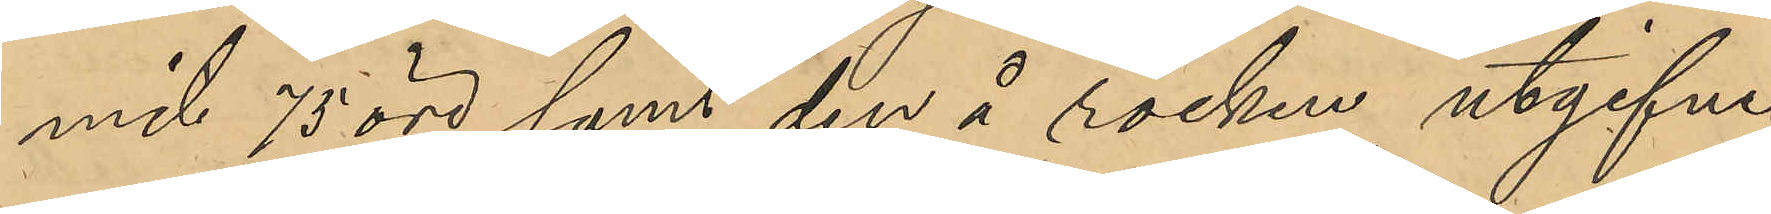mit 75 öre samt den å rocken utgifne
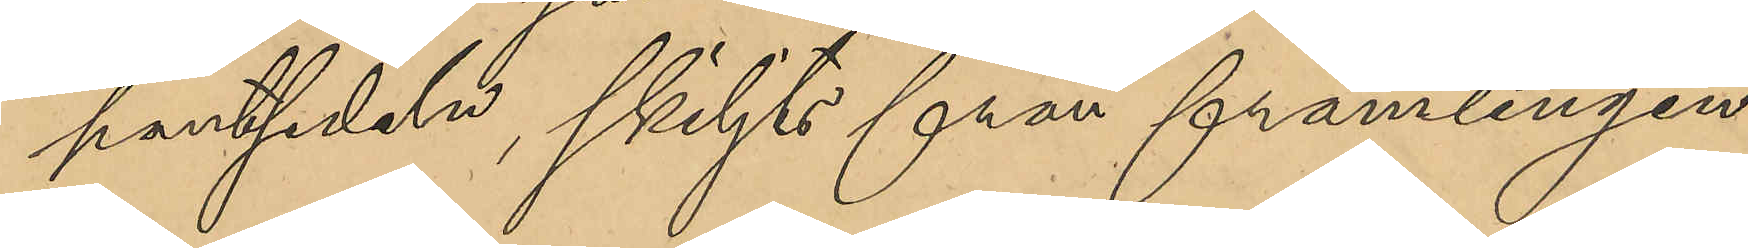pantsedeln, skiljts från främlingen
